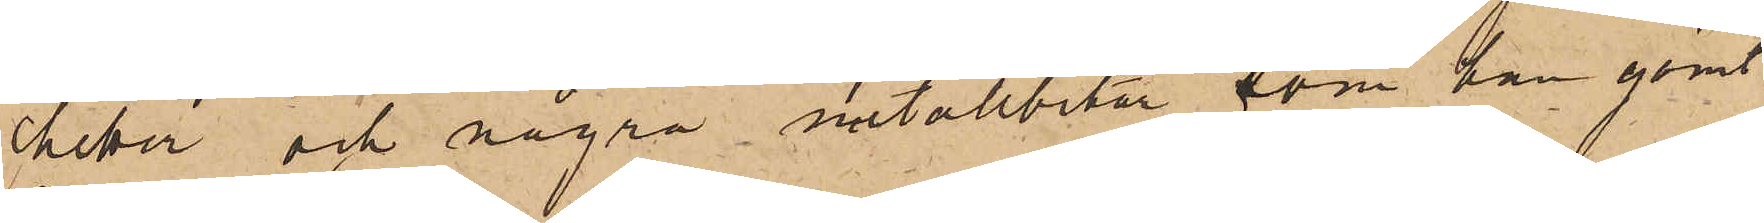chetter och några metallbitar, som han gömt
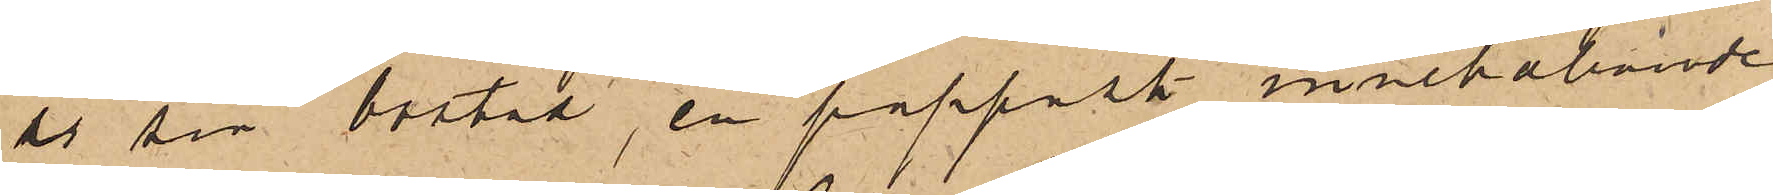i sin bostad, en pappask innehållande
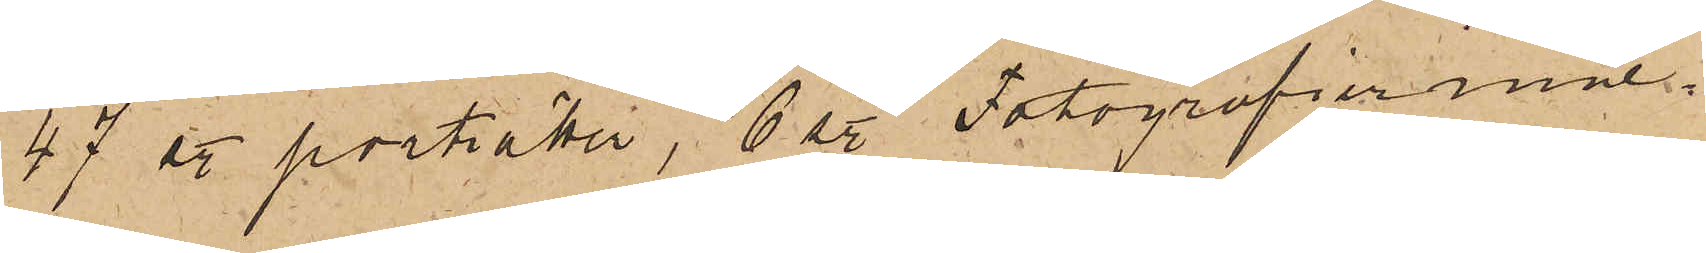47 st. porträtt, 6 st. Fotografier inne¬
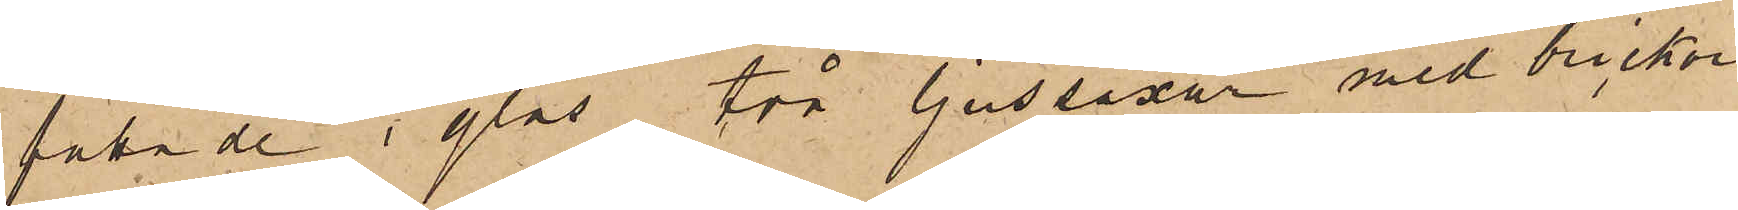fattade i glas, två ljussaxar med brickor
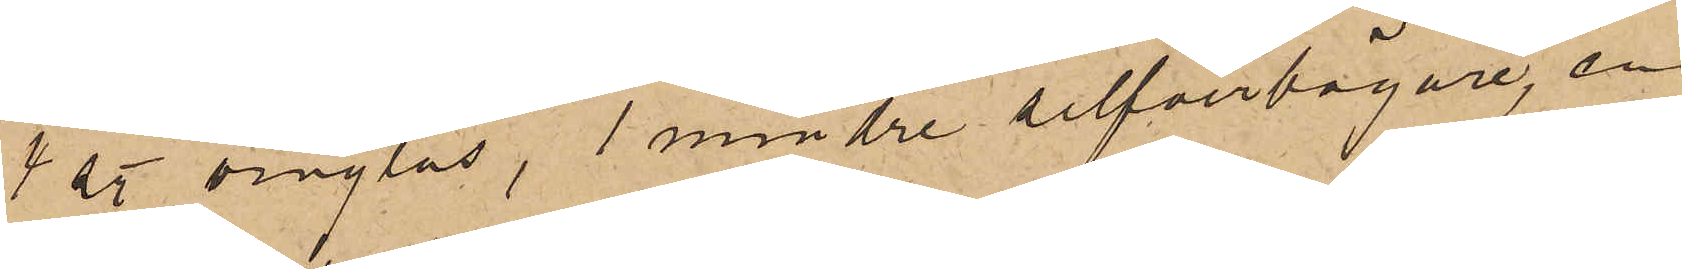4 st. vinglas, 1 mindre silfverbägare, en
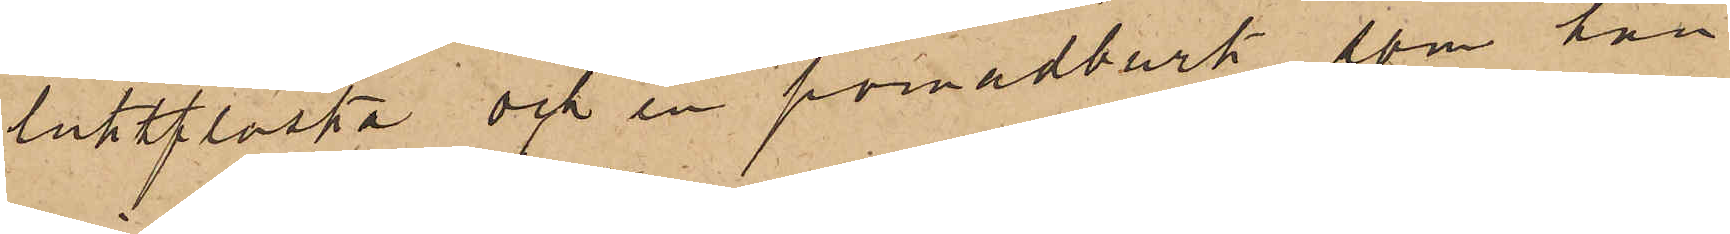luktflaska och en pomadburk, som han
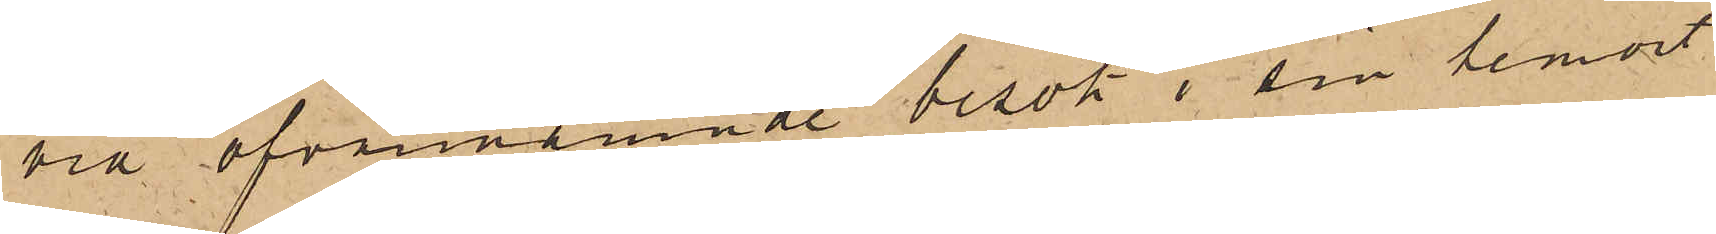vid ofvannämnde besök i sin hemort
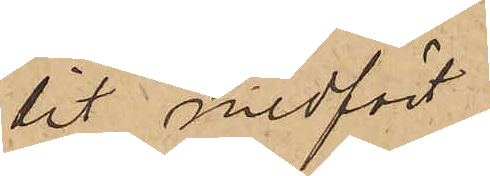dit medfört.
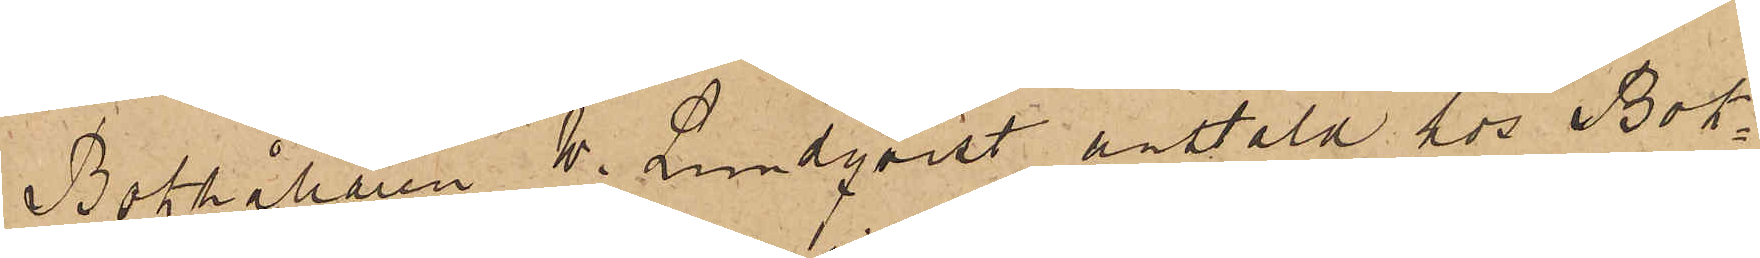Bokhållaren W. Lundqvist anstäld hos Bok¬
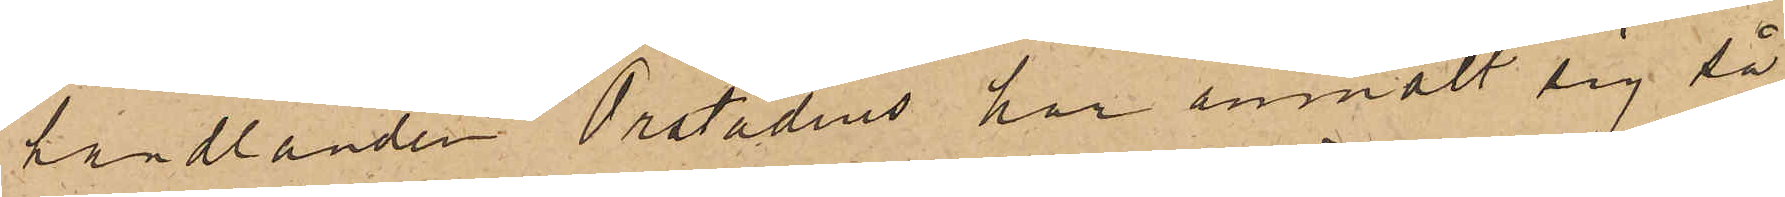handlanden Orstadius har anmält sig så¬
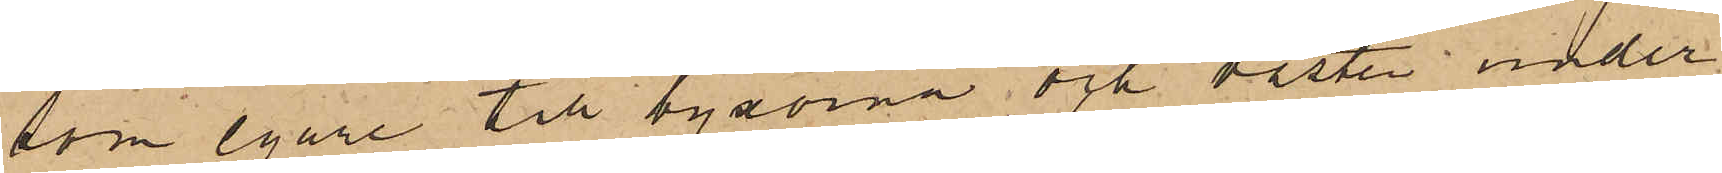som egare till byxorna och västen under
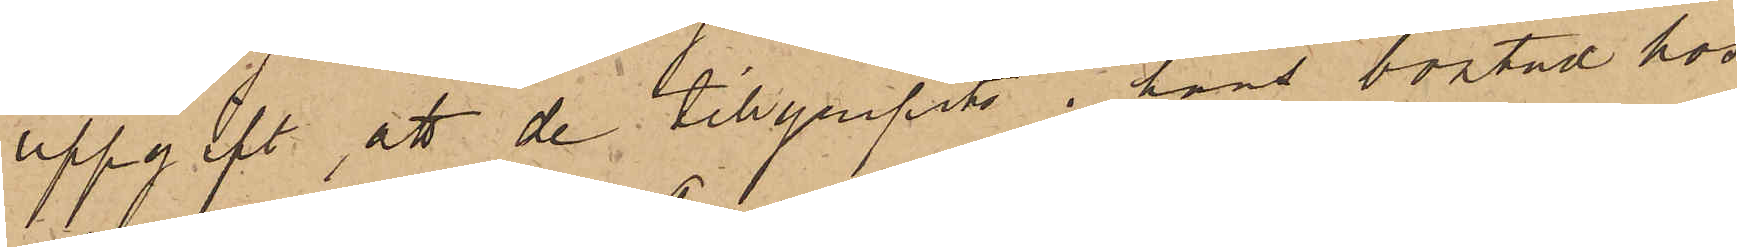uppgift att de tillgripits i hans bostad hos
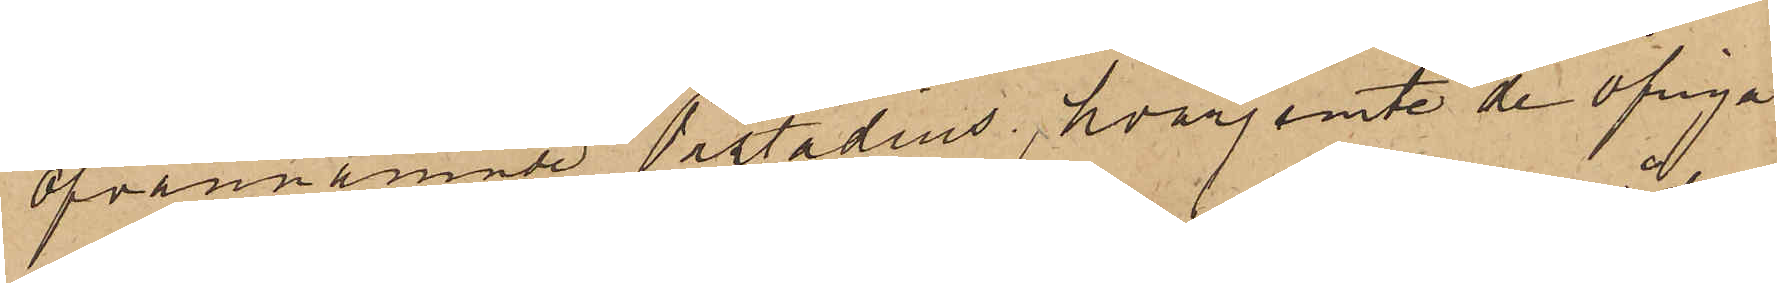ofvannämnde Orstadius, hvarjemte de öfriga
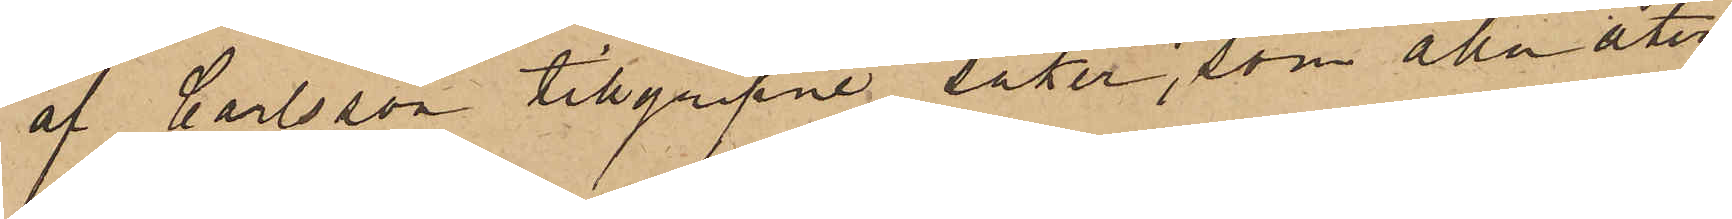af Carlsson tillgripne saker, som alla åter¬
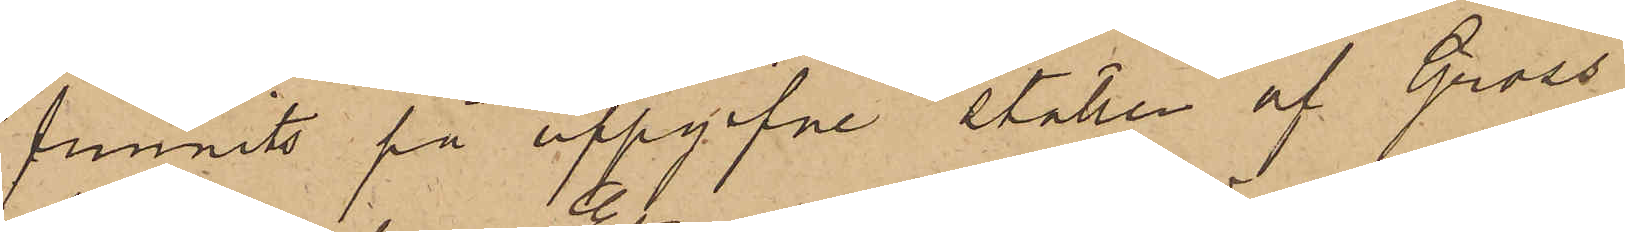funnits på uppgifne ställen af Gross¬
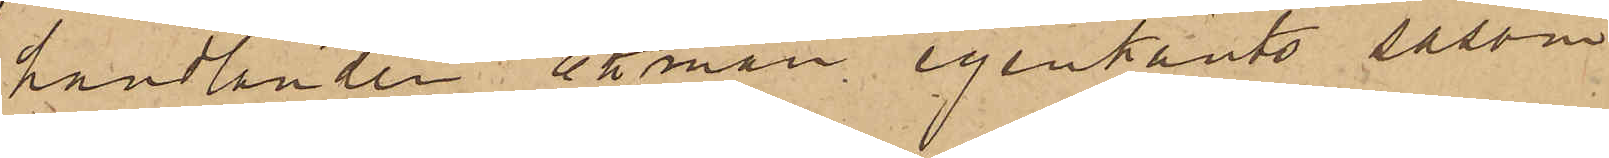handlanden Ekman igenkänts såsom
